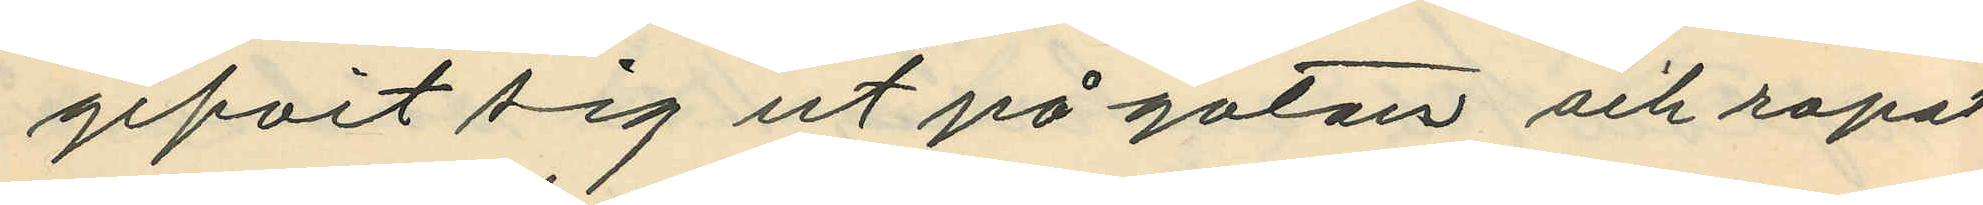gifvit sig ut på gatan och ropat
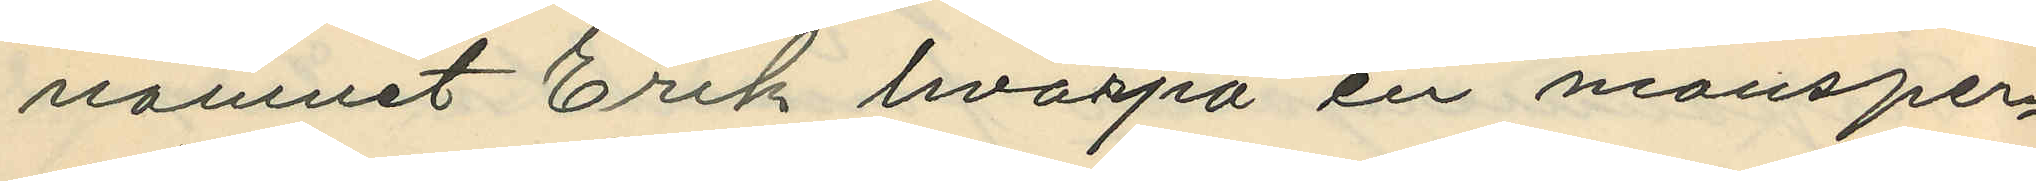namnet Erik hvarpå en mansper¬
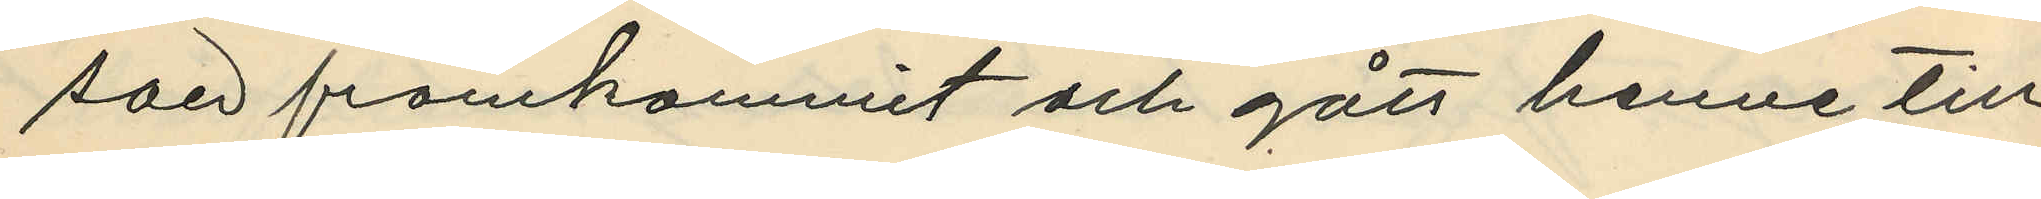son framkommit och gått henne till
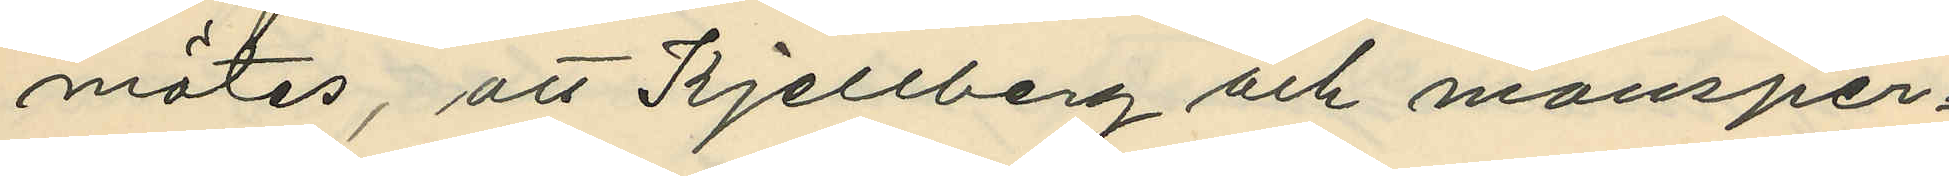mötes, att Kjellberg och mansper¬
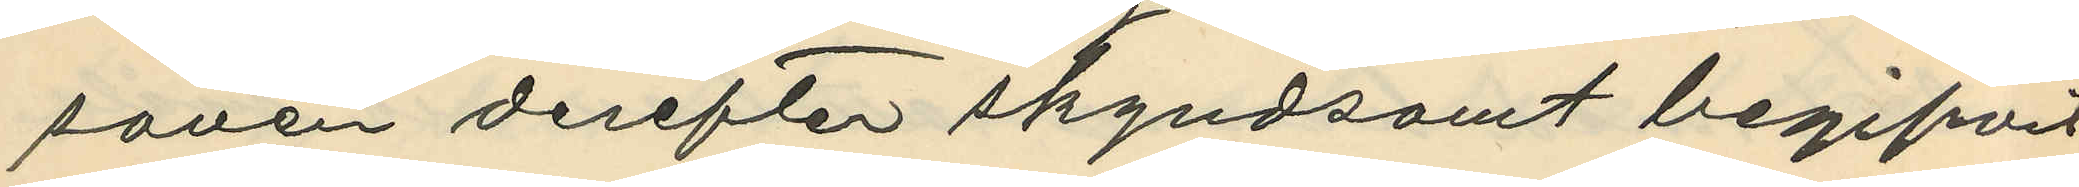sonen derefter skyndsamt begifvit
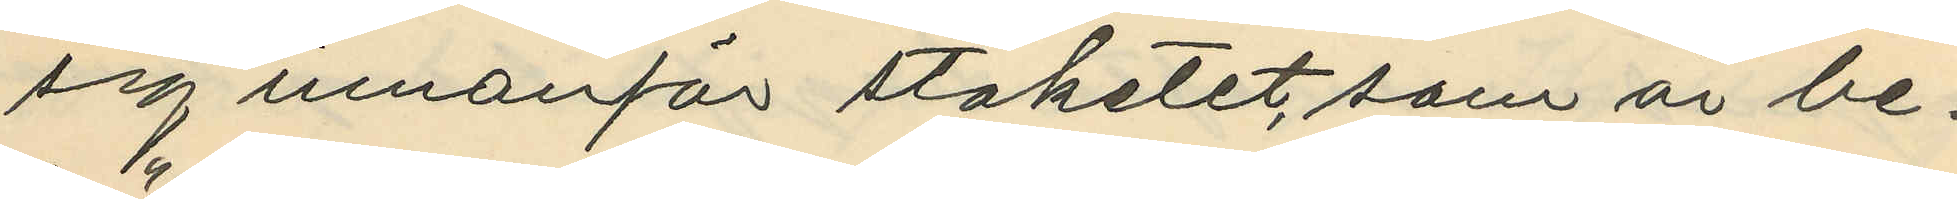sig innanför staketet, som är be¬
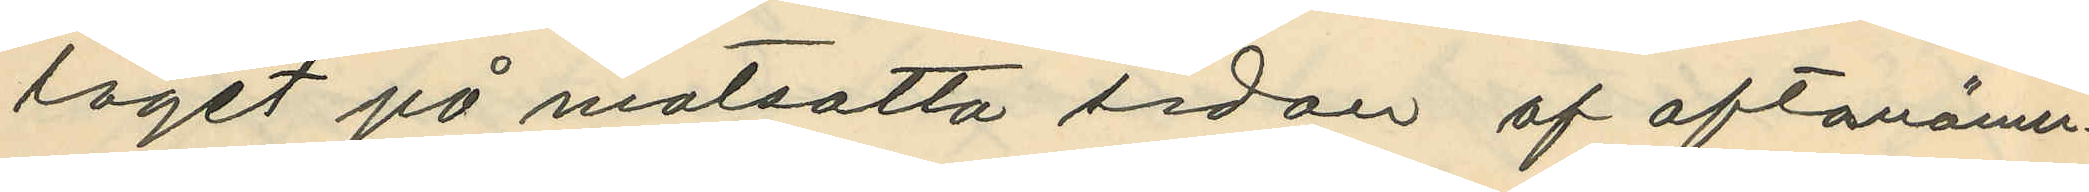läget på motsatta sidan af oftanämn¬
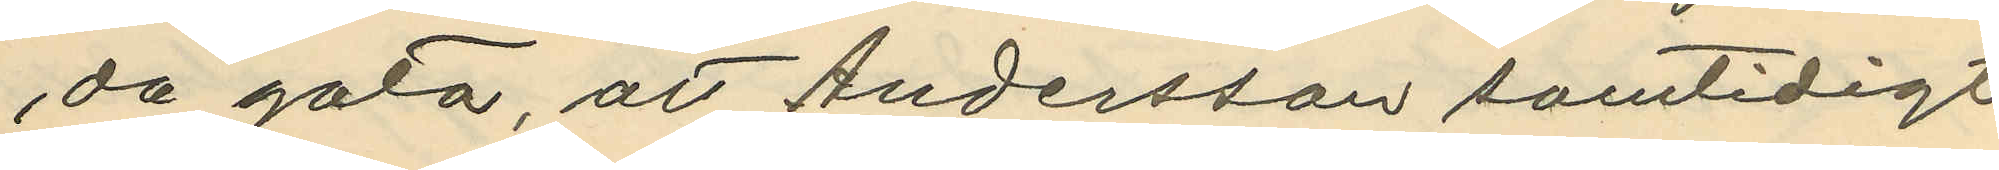da gata, att Andersson samtidigt
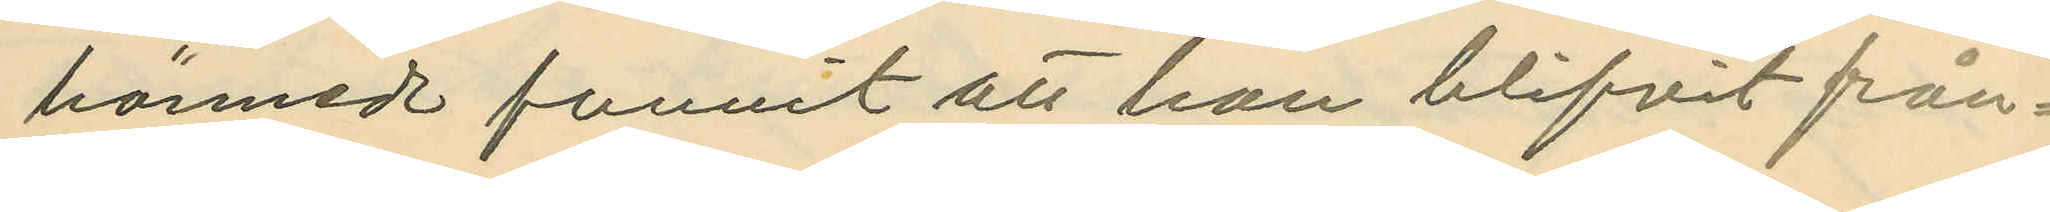härmed funnit att han blifvit från¬
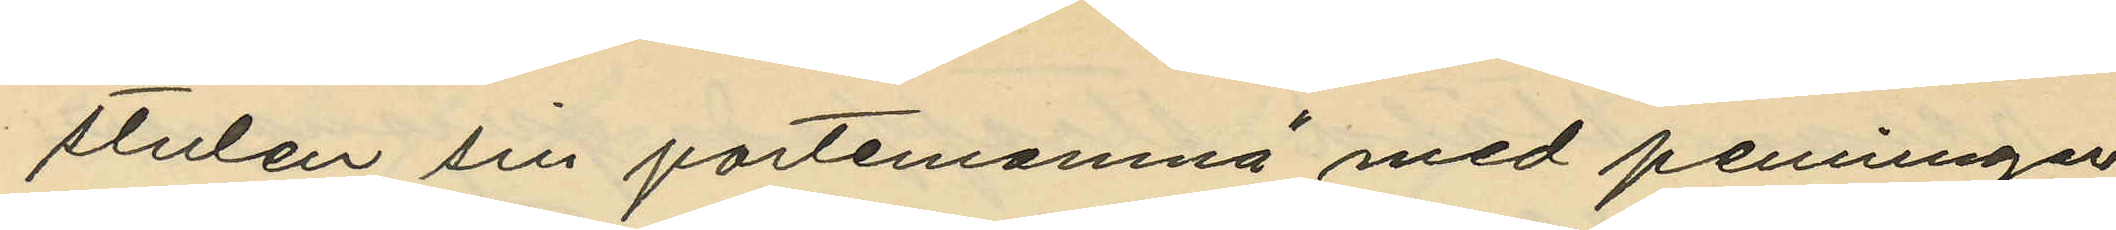stulen sin portemonmä med penningar
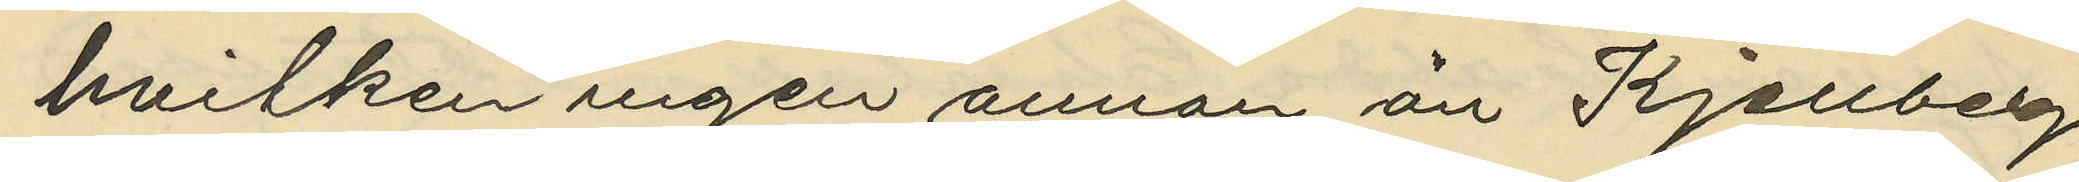hvilken ingen annan än Kjellberg
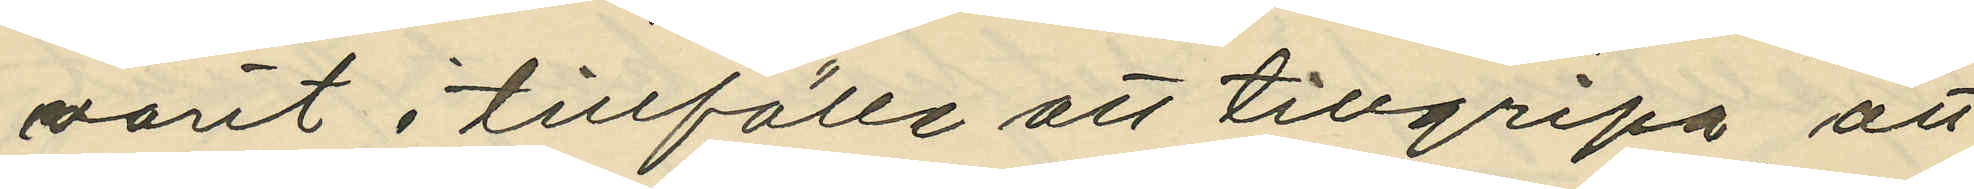varit i tillfälle att tillgripa att
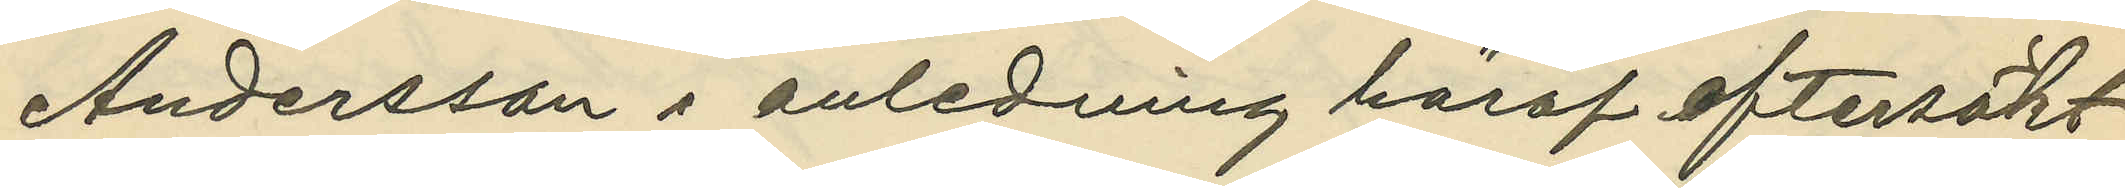Andersson i anledning häraf eftersökt
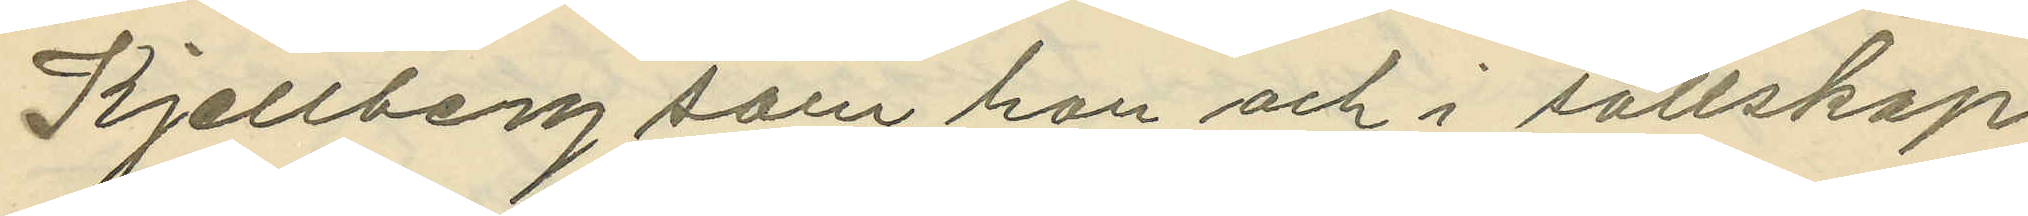Kjellberg som hon och i sällskap
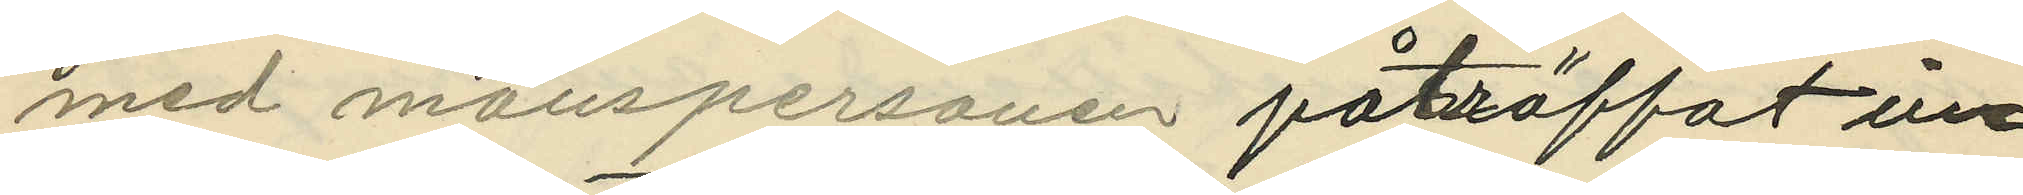med manspersonen påträffat in¬
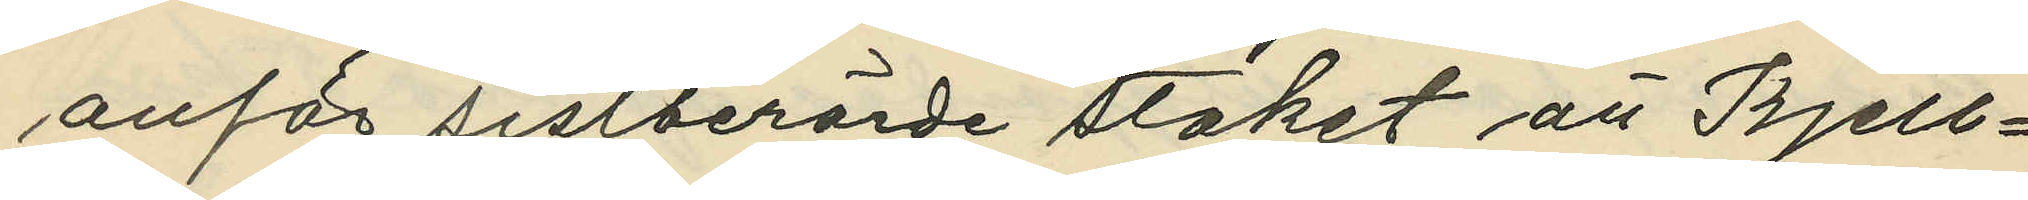anför sistberörde staket att Kjell¬
